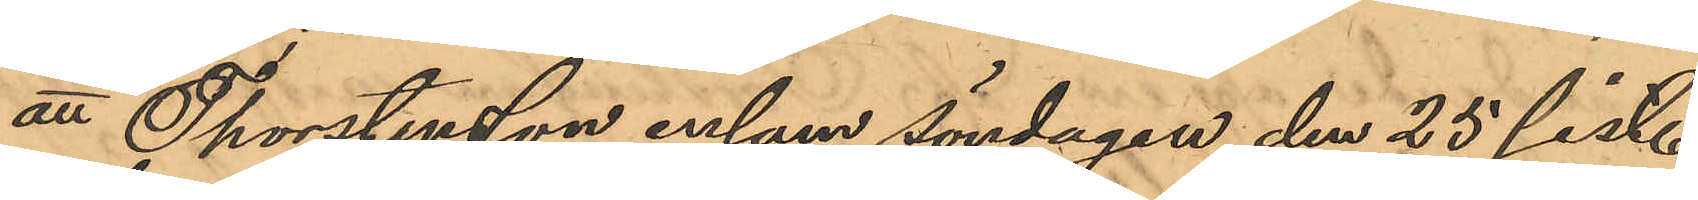att Thorstensson ensam söndagen den 25 sist.
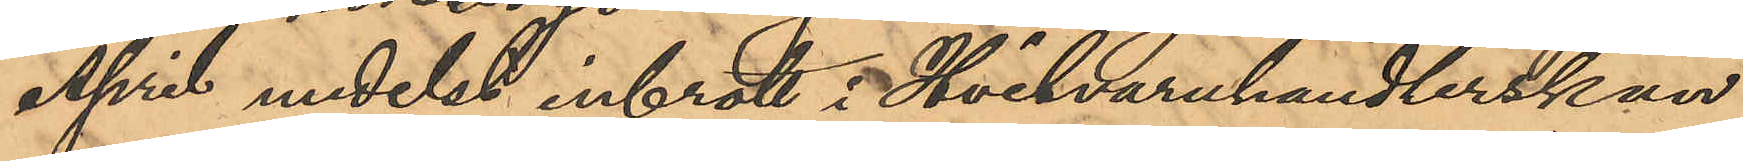April medelst inbrott i Hvitvaruhandlerskan
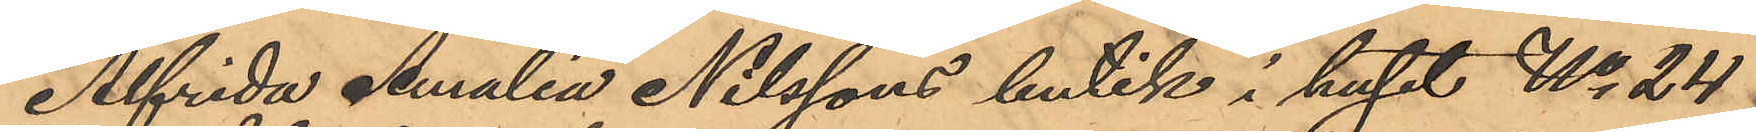Alfrida Amalia Nilssons butik i huset No 24
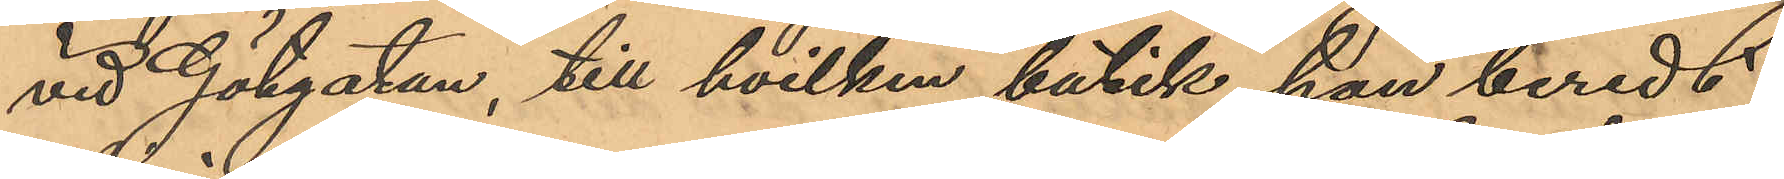vid Götgatan, till hvilken butik han beredt
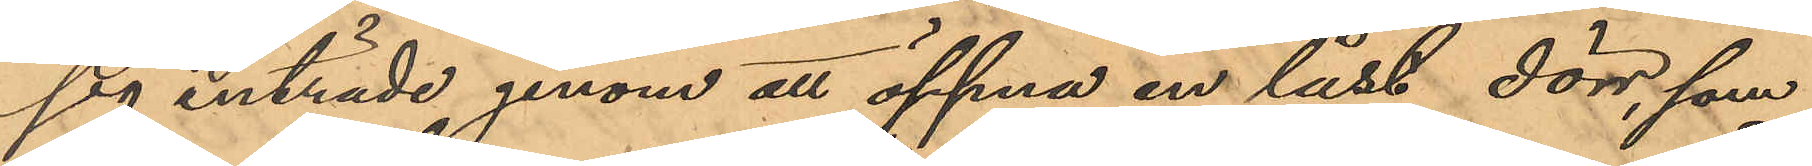sig inträde genom att öppna en låst dörr, som
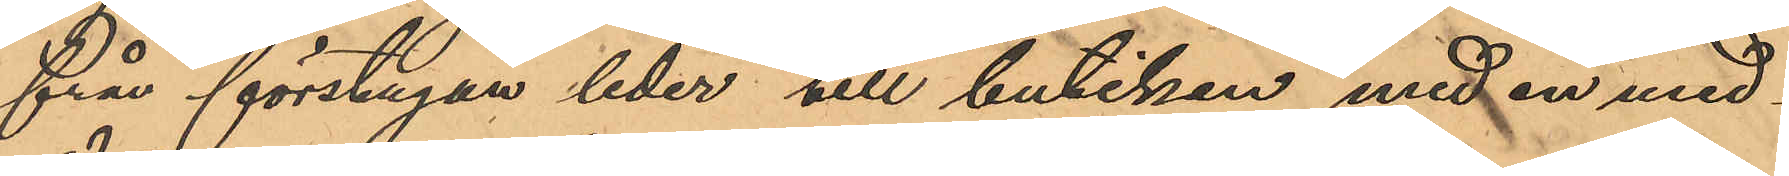från förstugan leder till butiken med en med¬
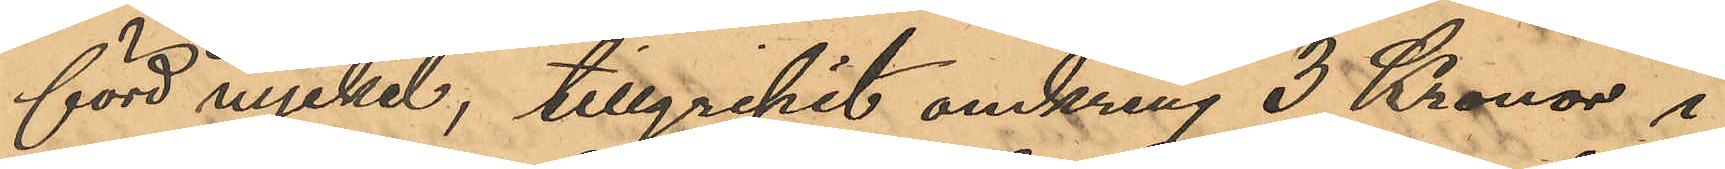förd nyckel, tillgripit omkring 3 Kronor i
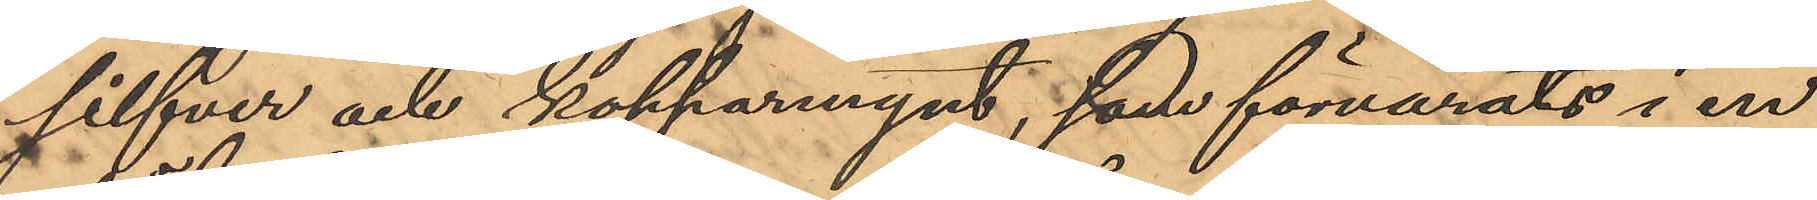silfver och kopparmynt, som förvarats i en
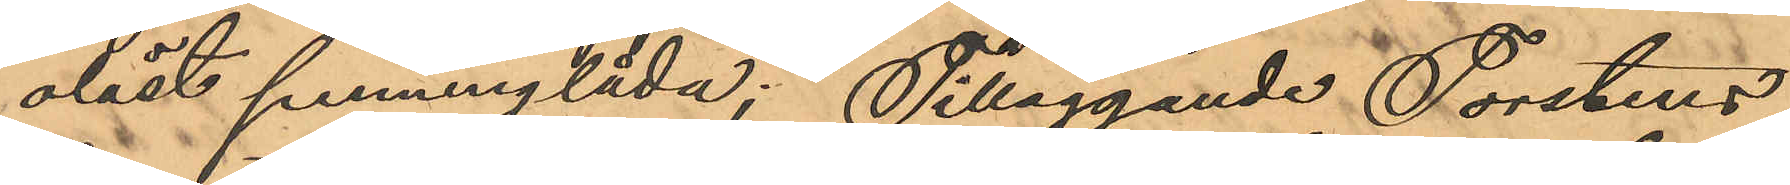olåst penninglåda; Tilläggande Torstens¬
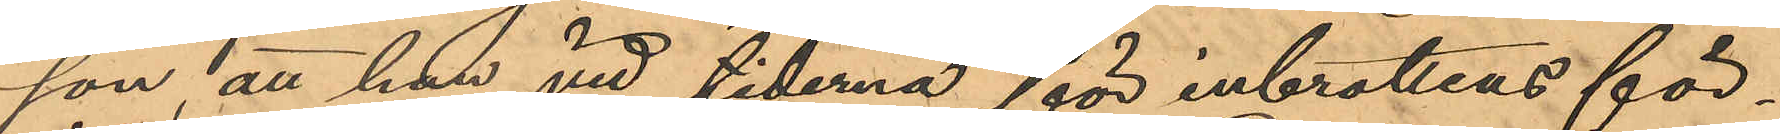son att han vid tiderna för inbrottens för¬
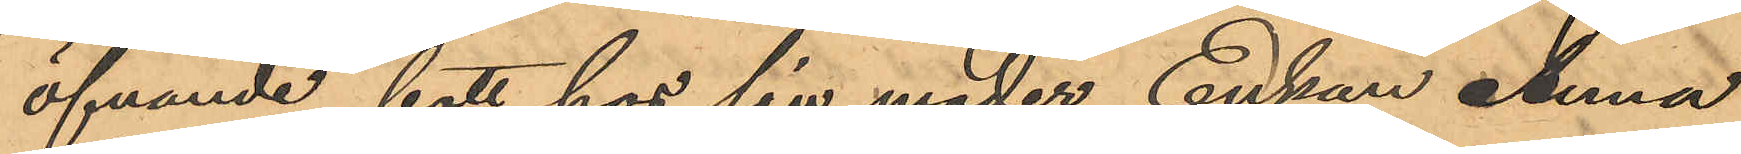öfvande bott hos sin moder Enkan Anna
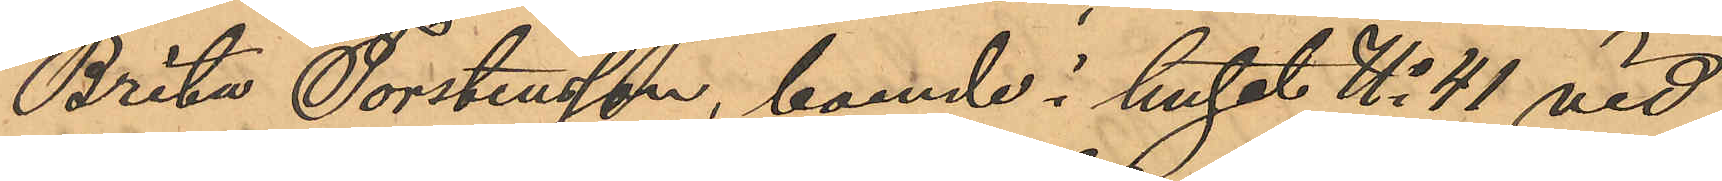Brita Torstensson, boende i huset No 41 vid
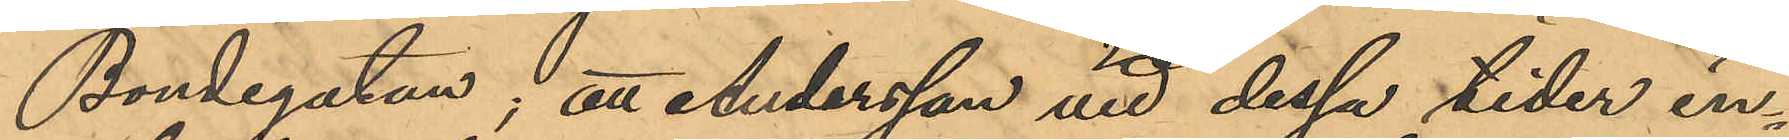Bondegatan; att Andersson vid dessa tider in¬
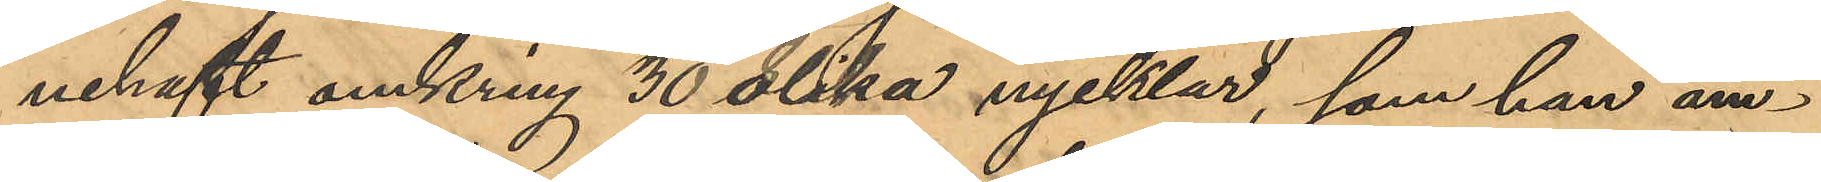nehaft omkring 30 olika nycklar, som han äm¬
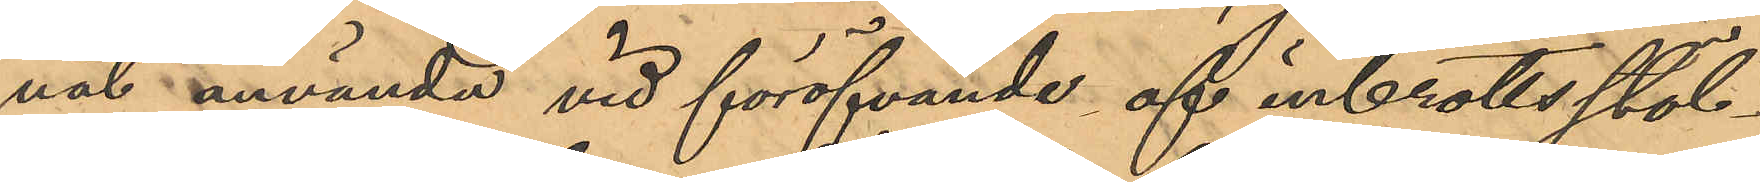nat använde vid föröfvande af inbrottsstöl¬
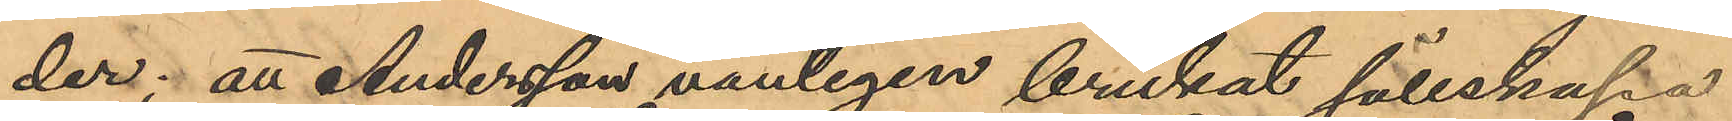der; att Andersson vanligen brukat sällskapa
